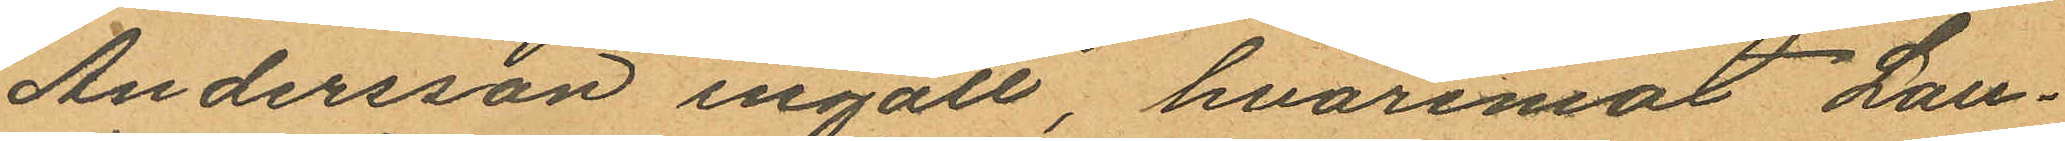Andersson ingått, hvaremot Lau¬
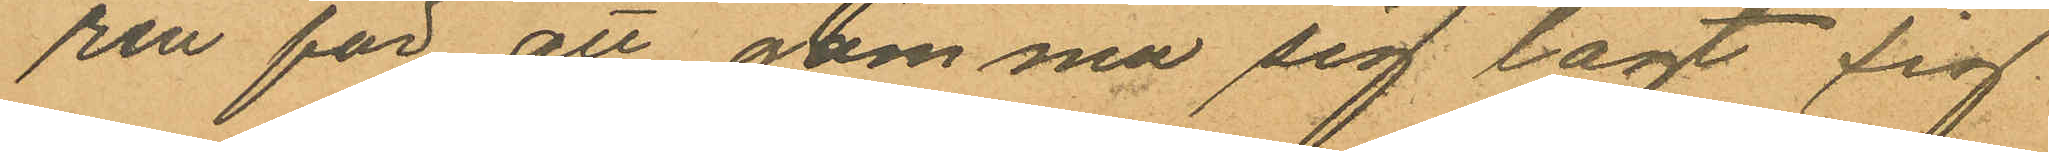rén för att gömma sig lagt sig
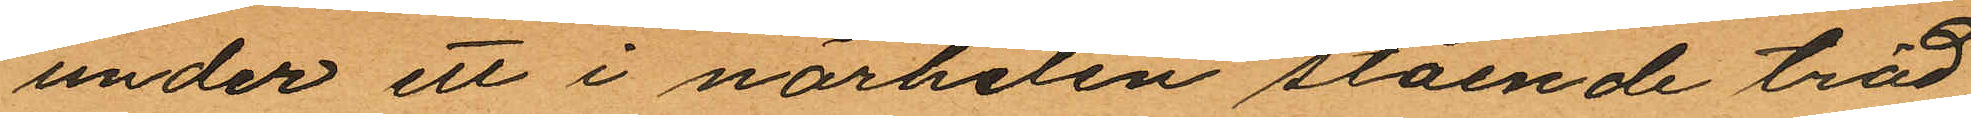under ett i närheten stående träd
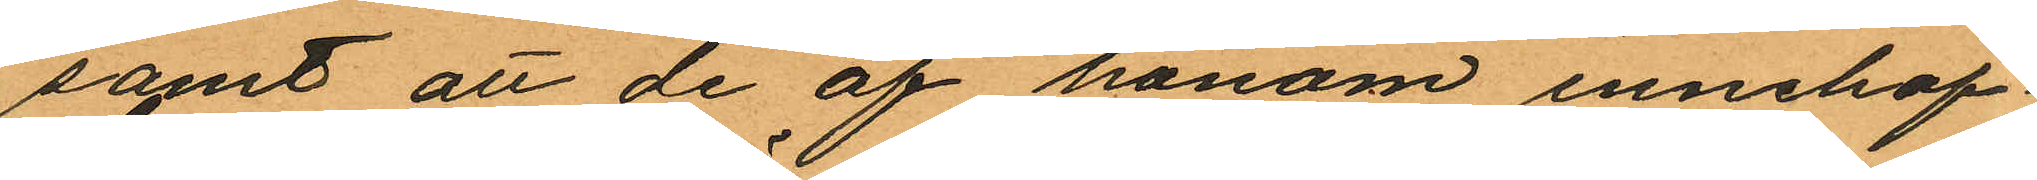samt att de af honom innehaf¬
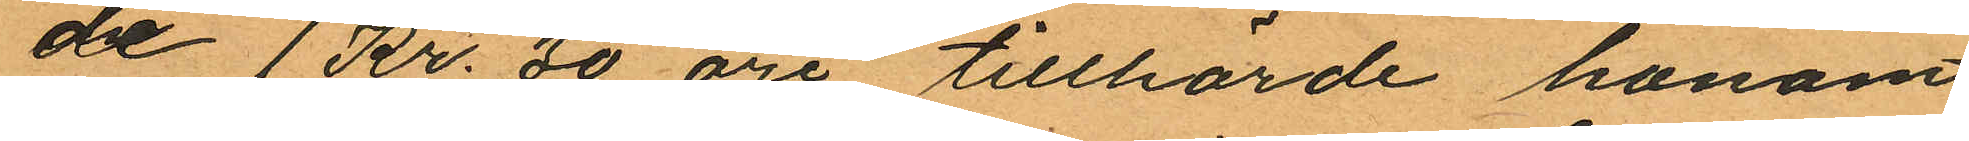år 1 Kr. 30 öre tillhörde honom
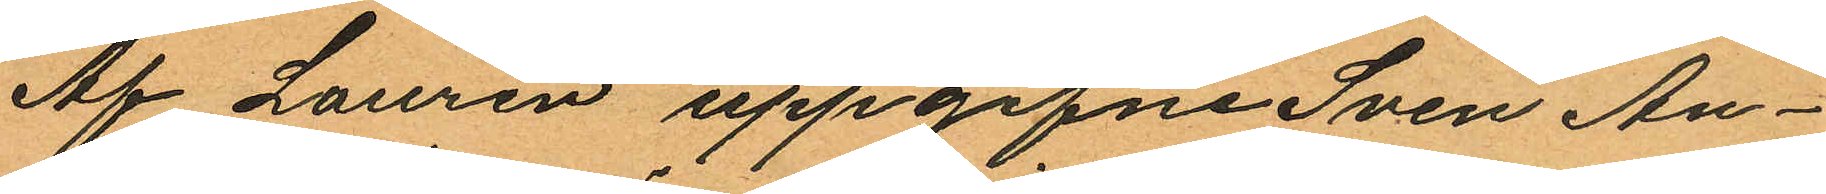Af Laurén uppgifne Sven An¬
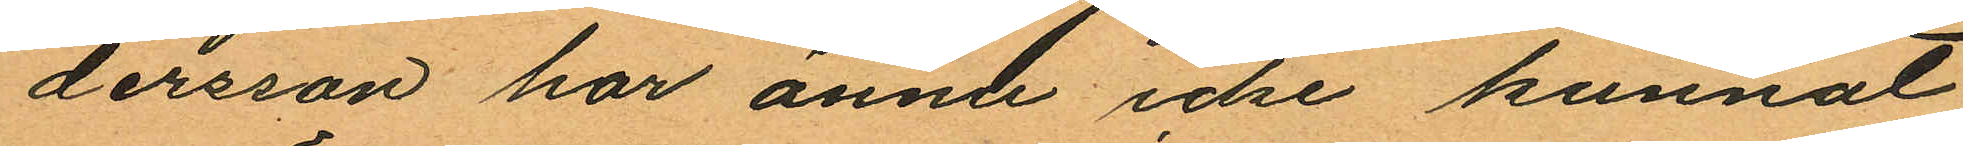dersson har ännu icke kunnat
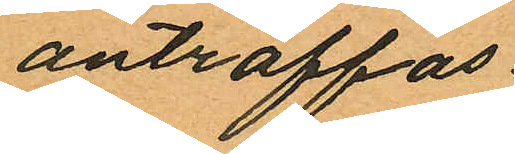anträffas.
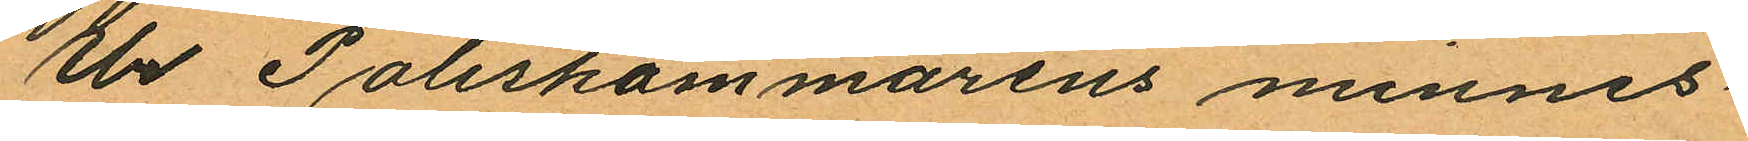Ur Poliskammarens minnes¬
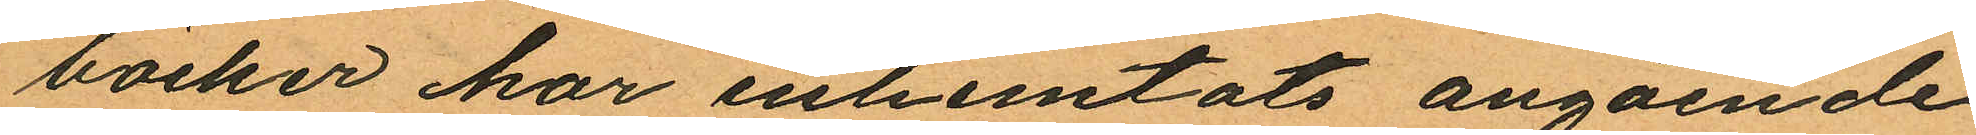böcker har inhemtats angående
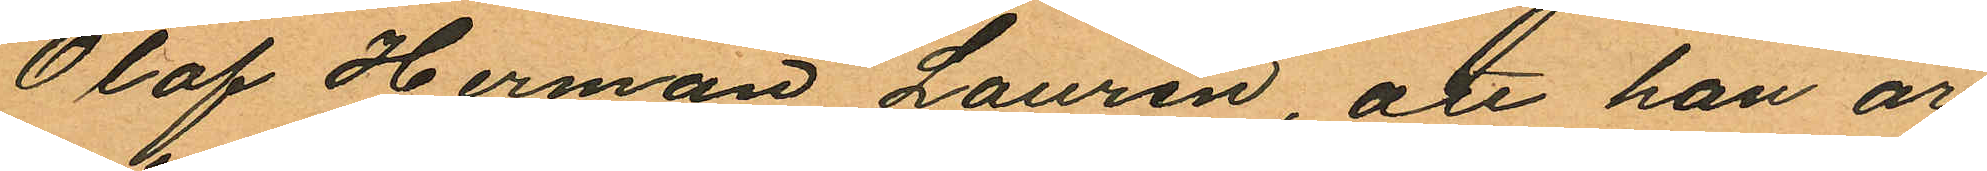Olof Herman Laurén, att han är
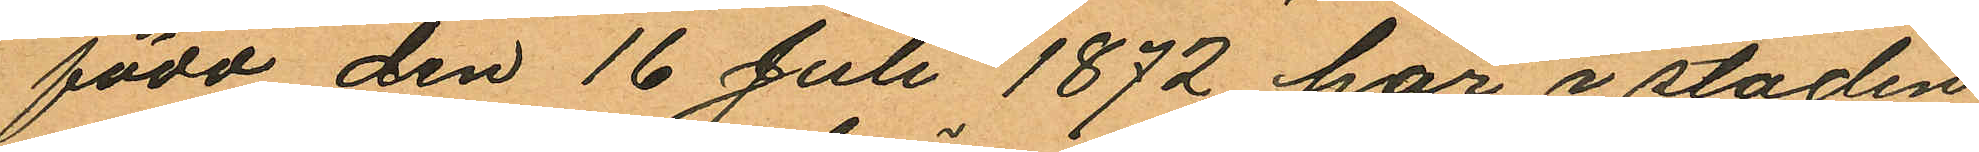född den 16 Juli 1872 här i staden
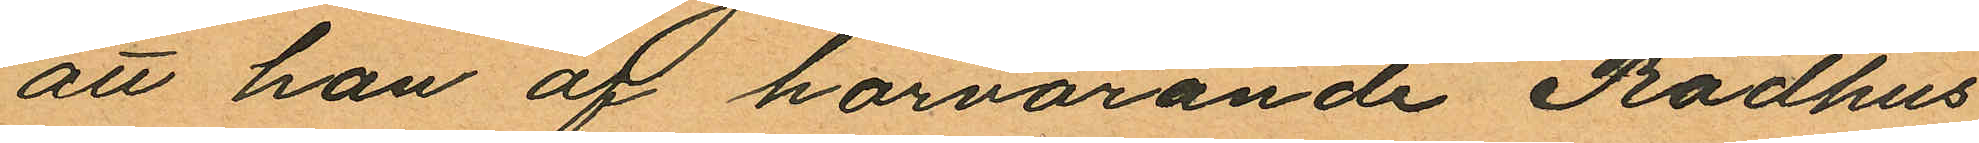att han af härvarande Rådhus
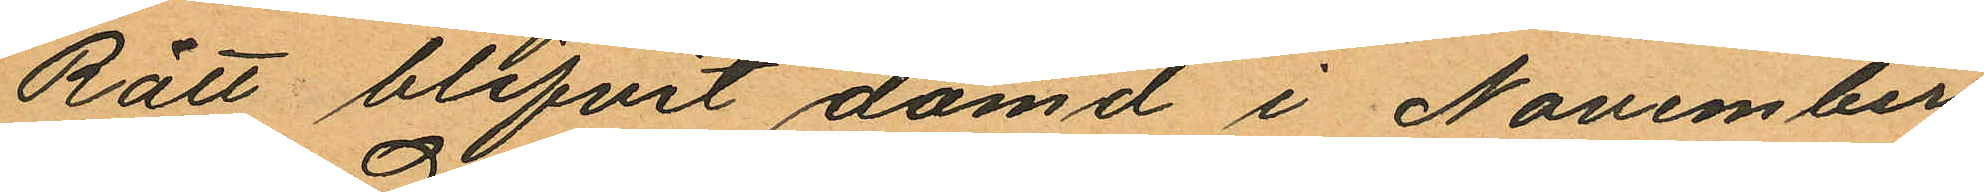Rätt blifvit dömd i November
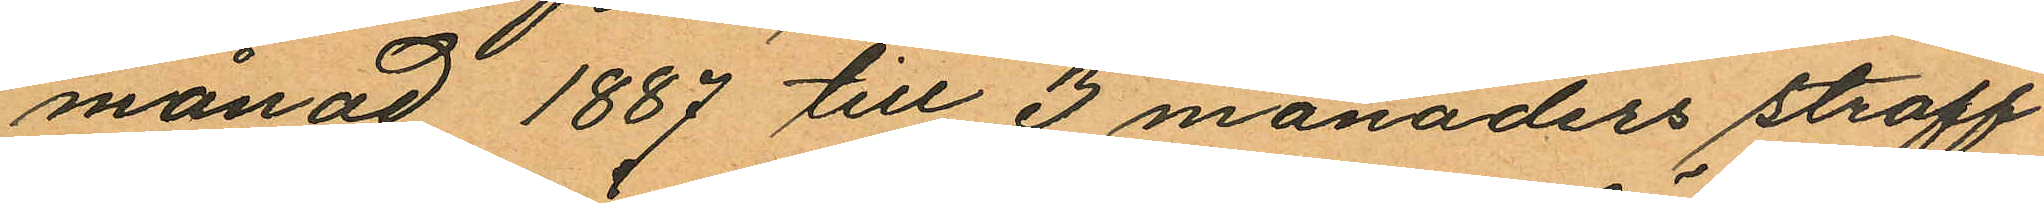månad 1887 till 3 månaders straff
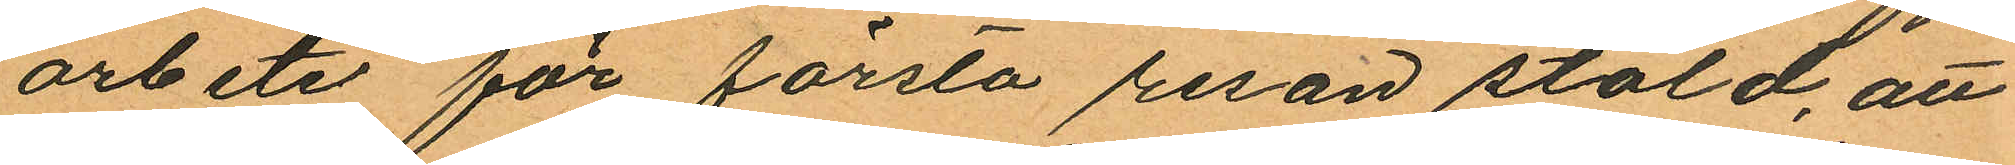arbete för första resan stöld, att
